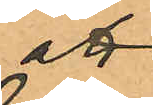att
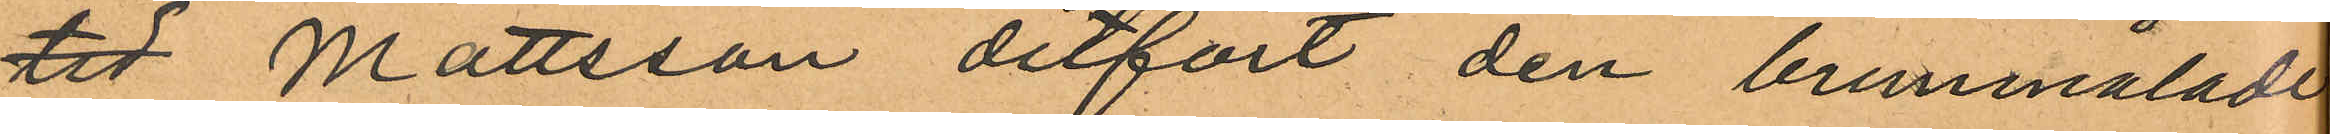tid Mattsson ditfört den brunmålade
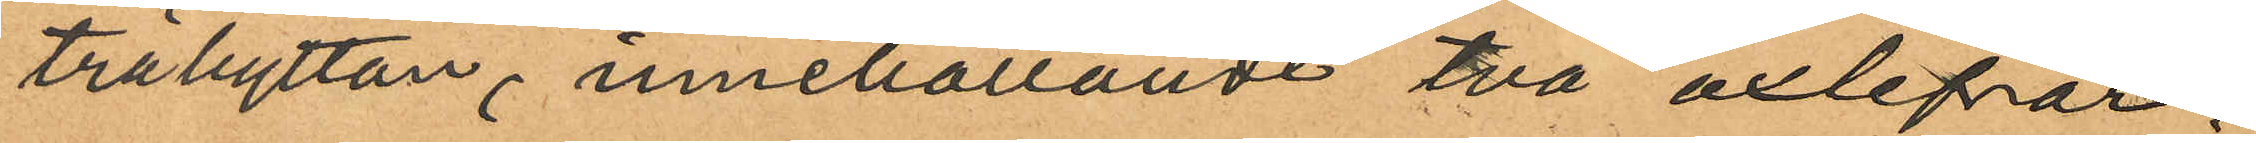träbyttan, innehållande två oxlefrar,
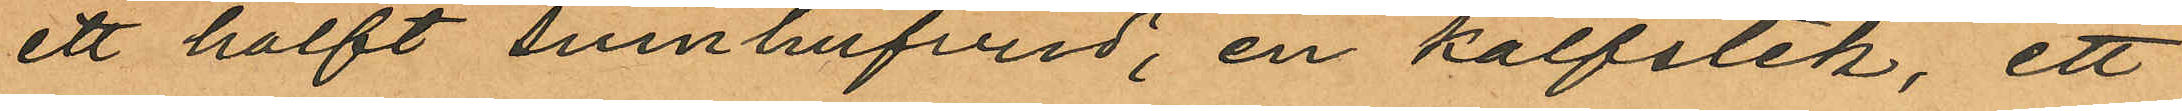ett halft svinhufvud, en kalfstek, ett
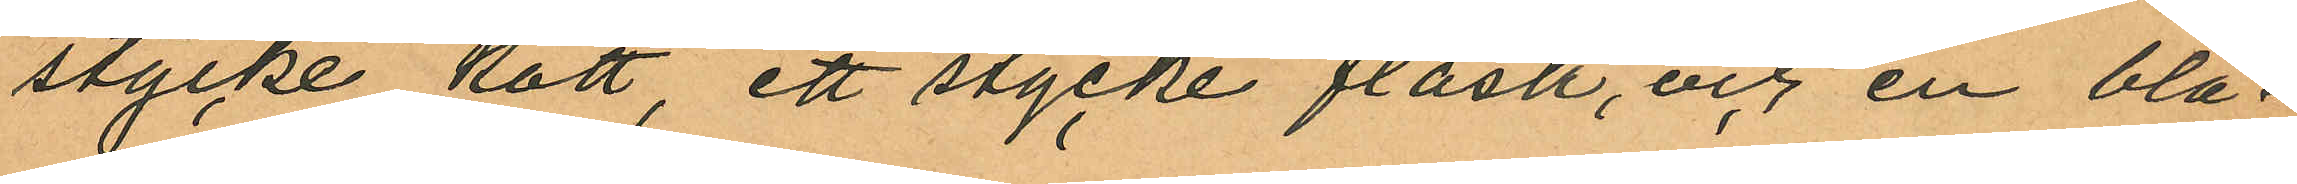stycke kött, ett stycke fläsk, och en blå¬
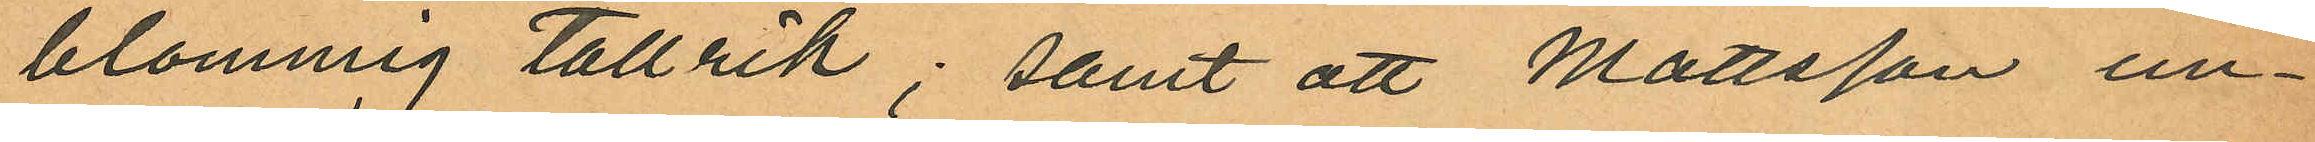blommig tallrik; samt att Mattsson un¬
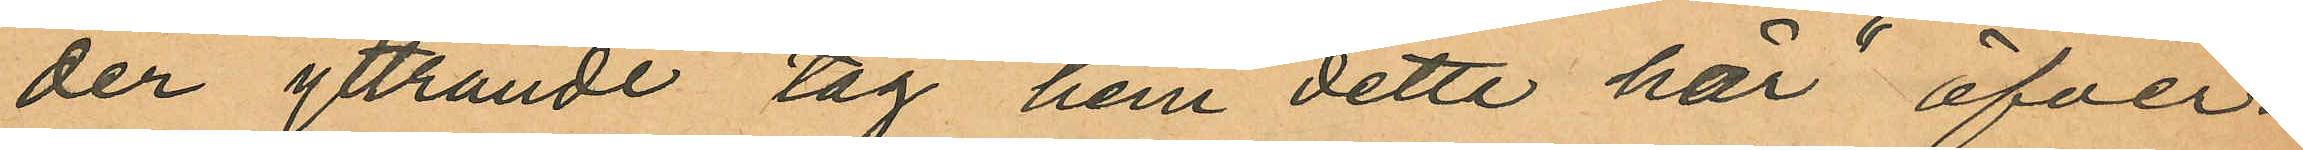der yttrande "tag hem detta här" öfver¬
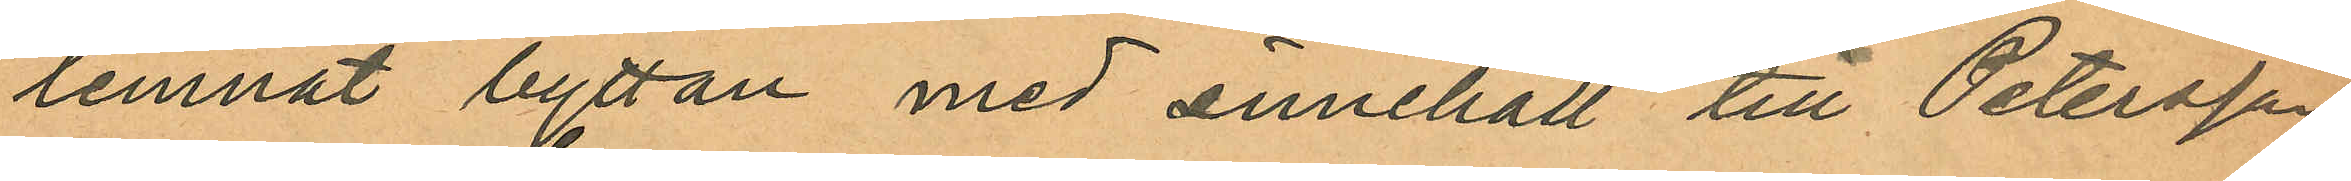lemnat byttan med innehåll till Petersson,
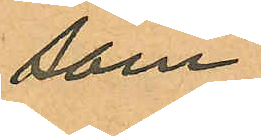som
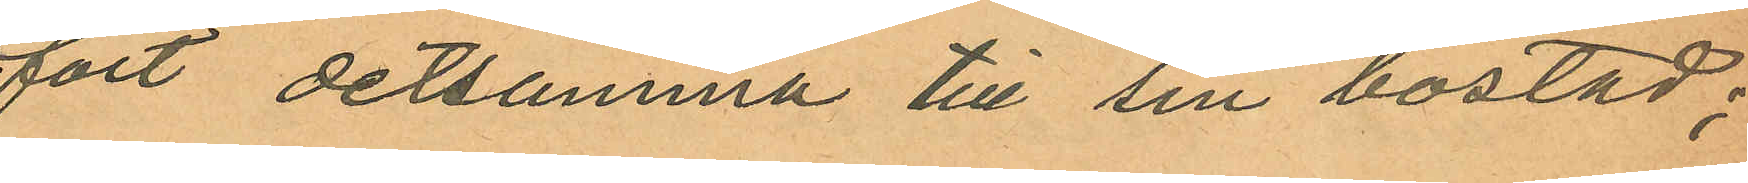fört detsamma till sin bostad;
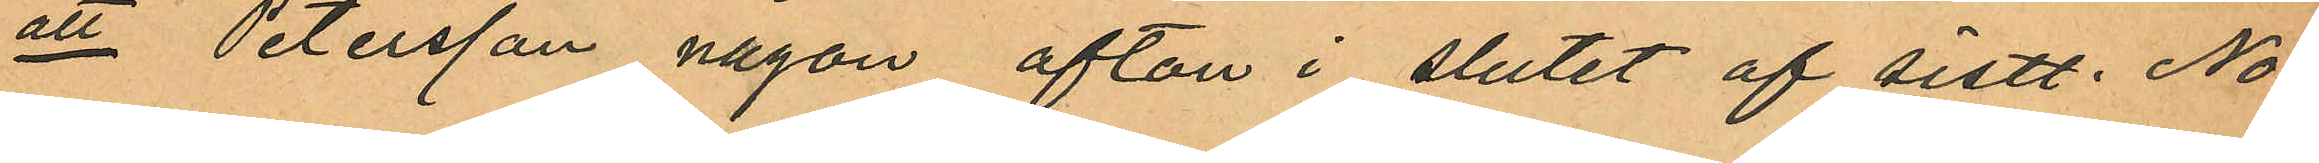att Petersson någon afton i slutet af sistl. No¬
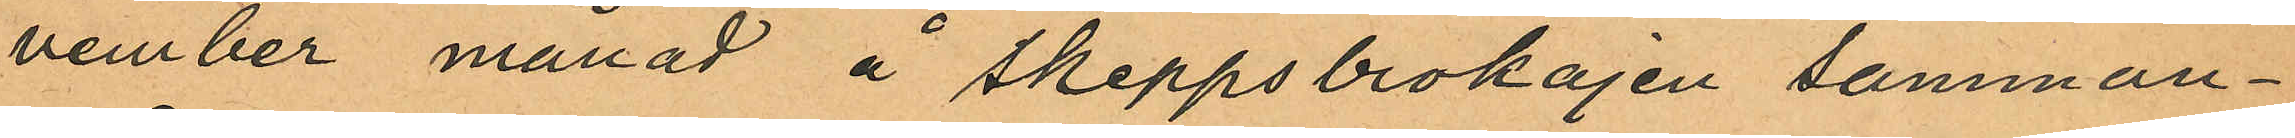vember månad å Skeppsbrokajen samman¬
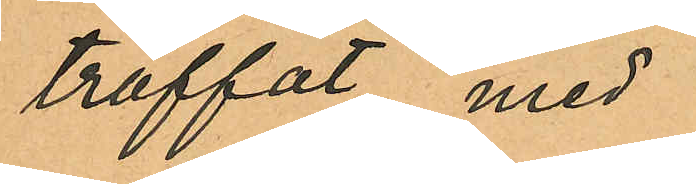träffat med
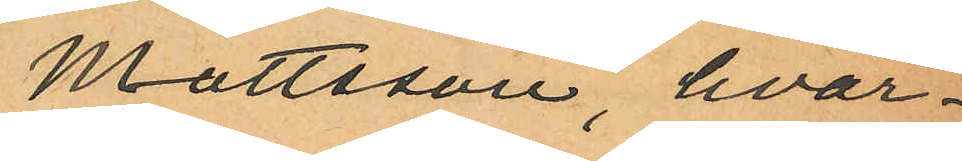Mattsson, hvar¬
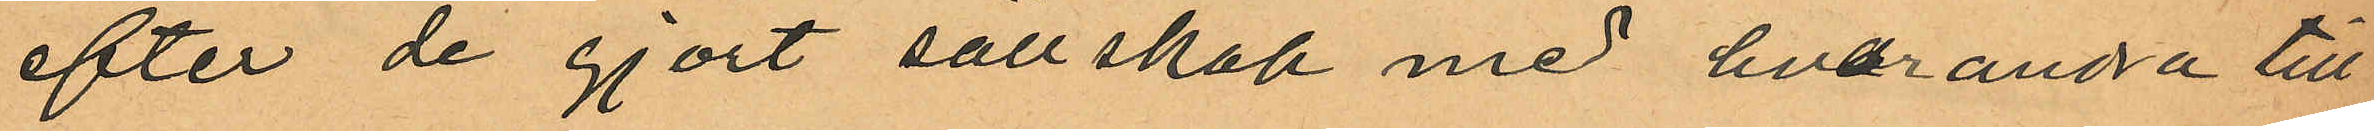efter de gjort sällskap med hvarandra till
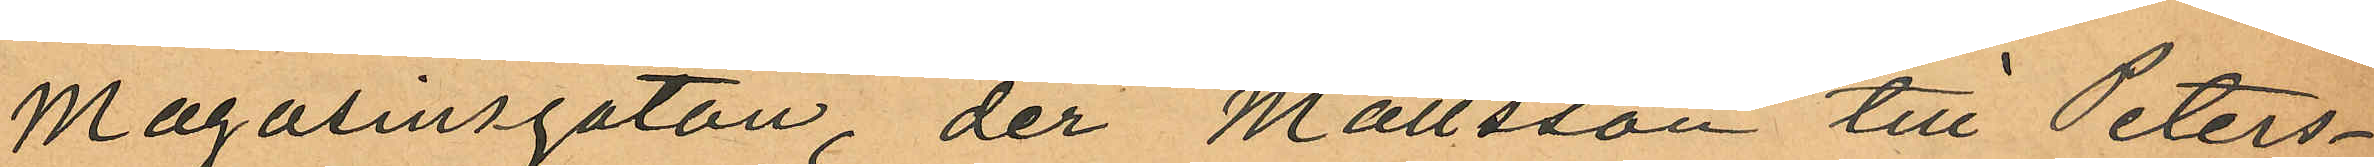Magasinsgatan, der Mattsson till Peters¬
